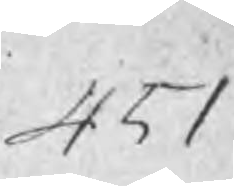451
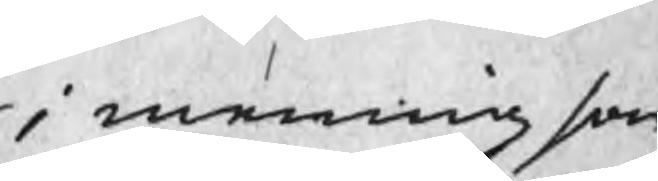i mening som
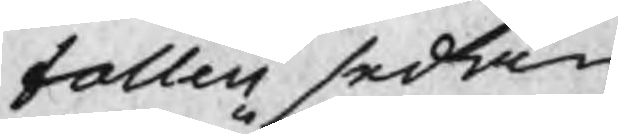falleij sedan
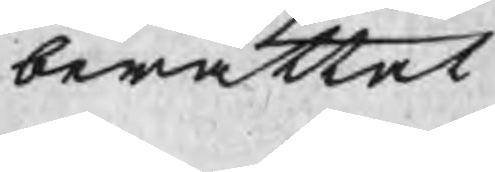berättat
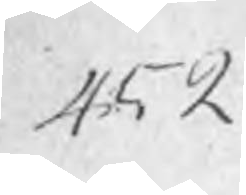452
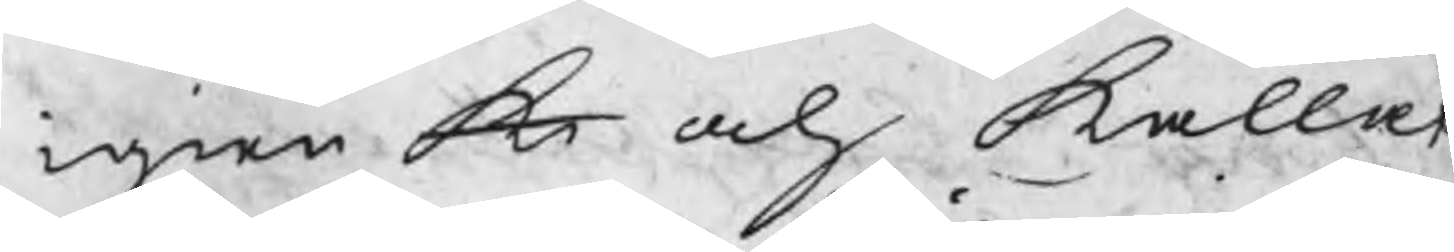igien k och kallat
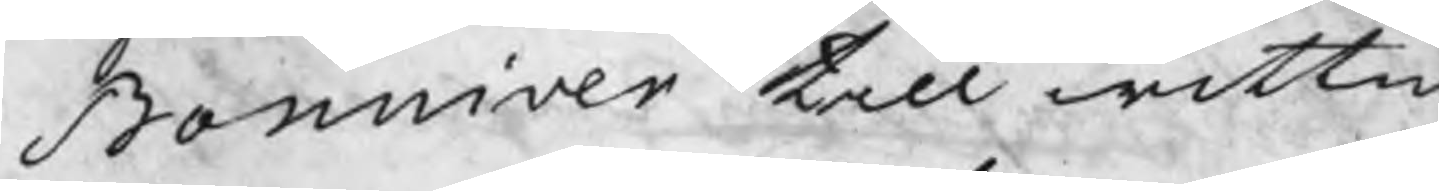Bonniver till wittn
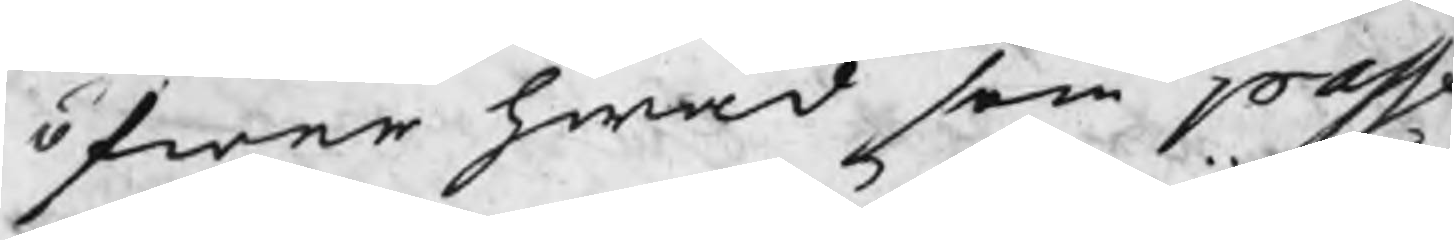öfwer hwad som passe
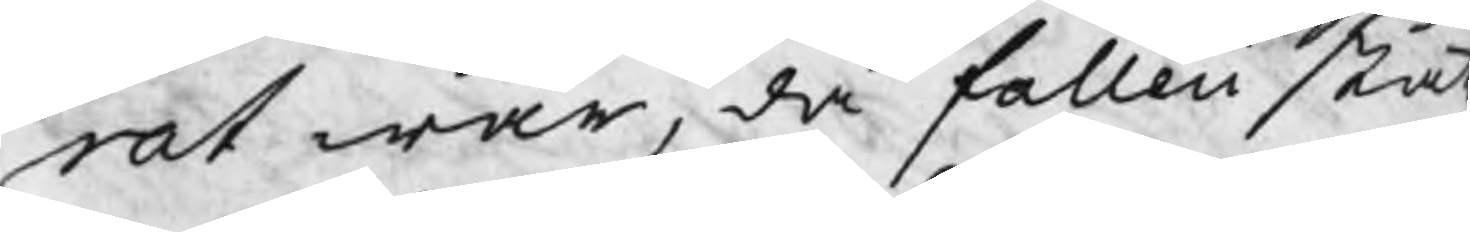rat war, då falleii ståt
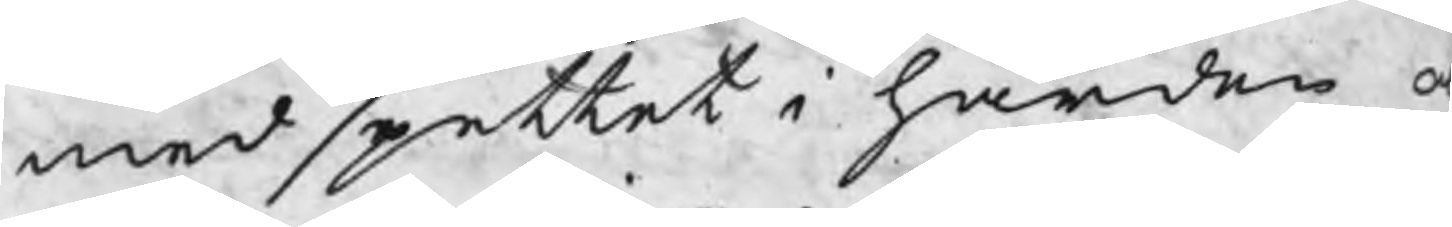med spettet i händer o
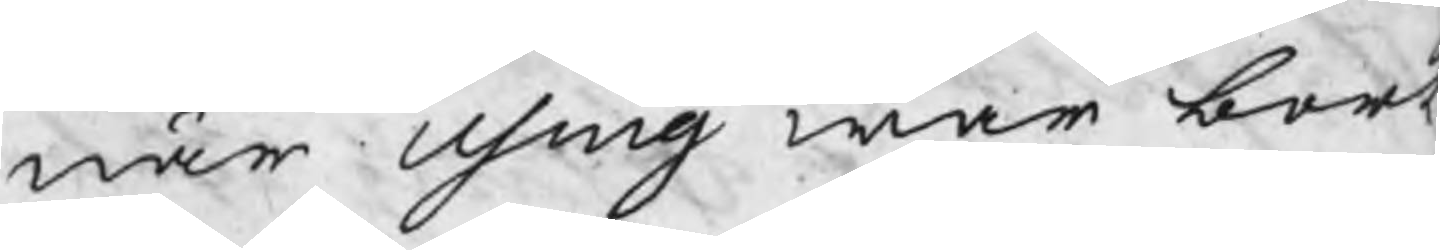när Using war bort
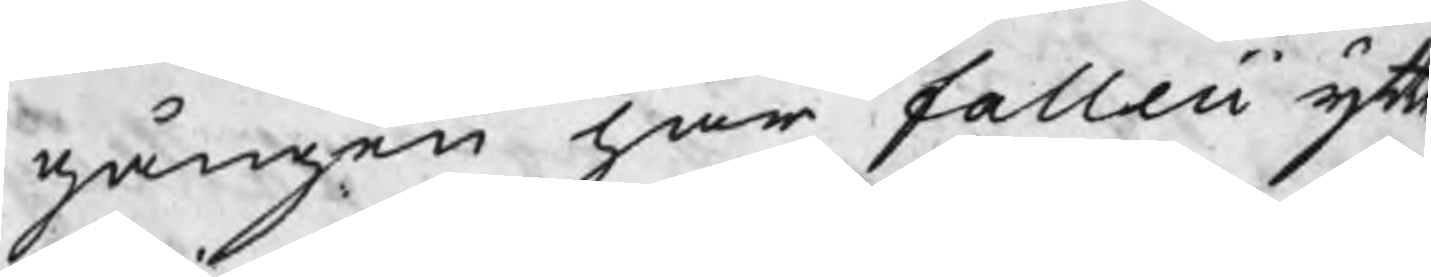gången har falleii yttr
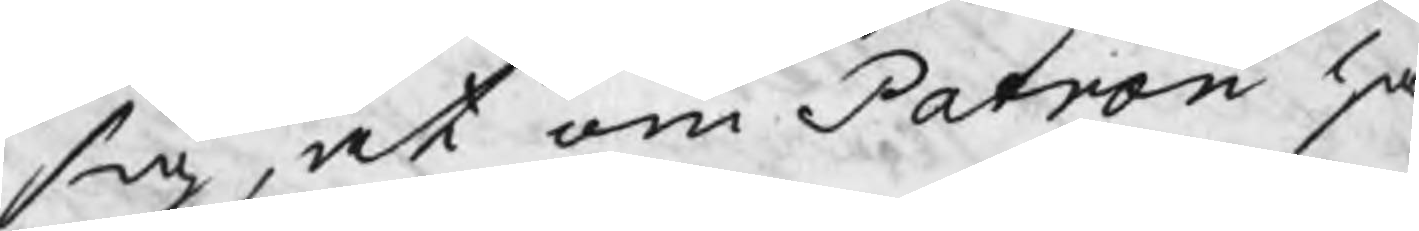sig, at om Patron ha
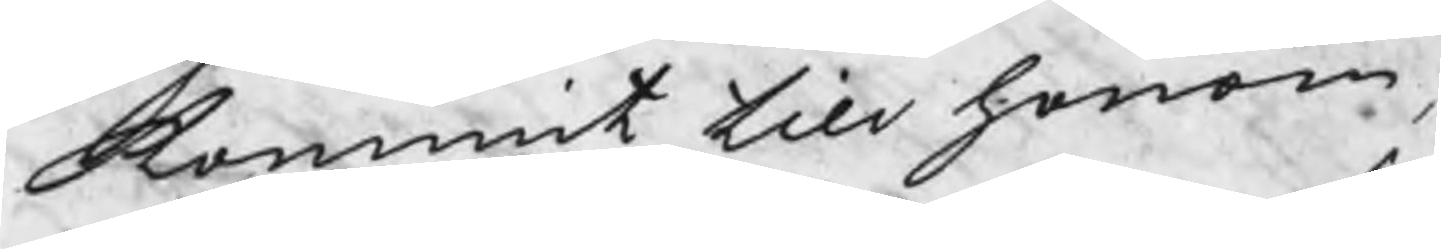kommit till honom,
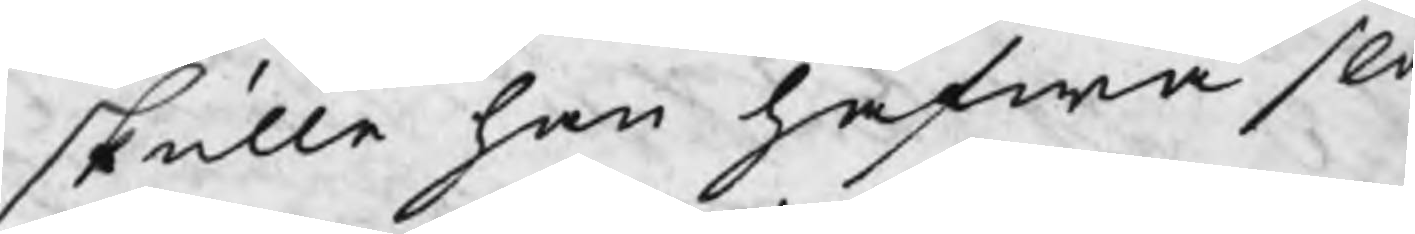skulle han hafwa sla
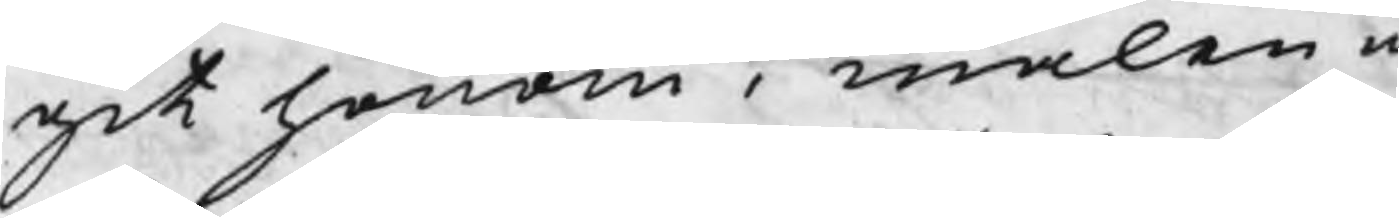git honom i malen m
